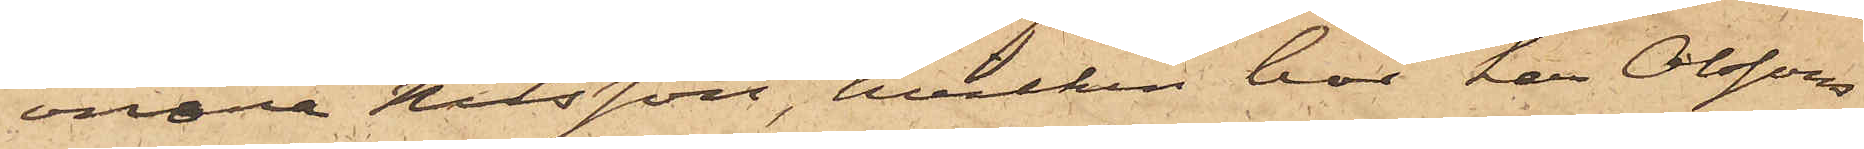onora Nilsson, hvilken bor hos Olssons
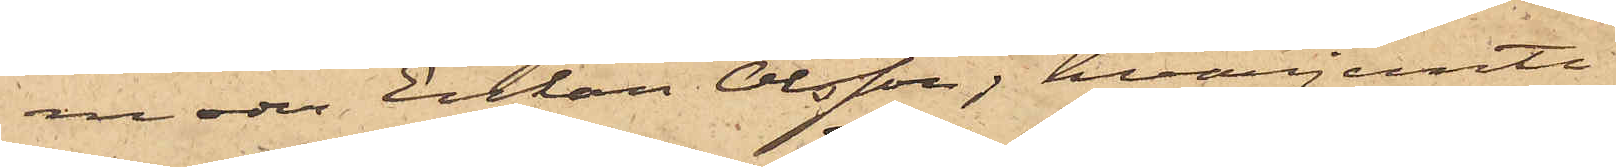moder Enkan Olsson, hvarjemte
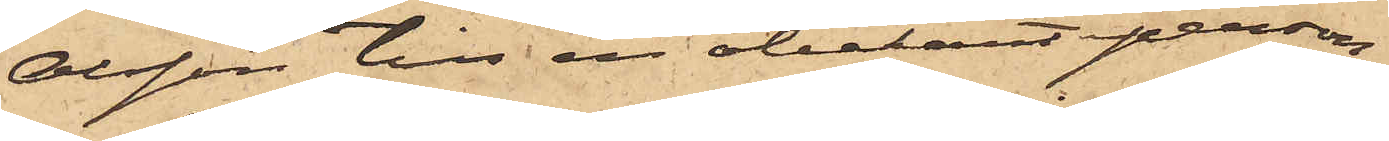Olsson till en obekant person
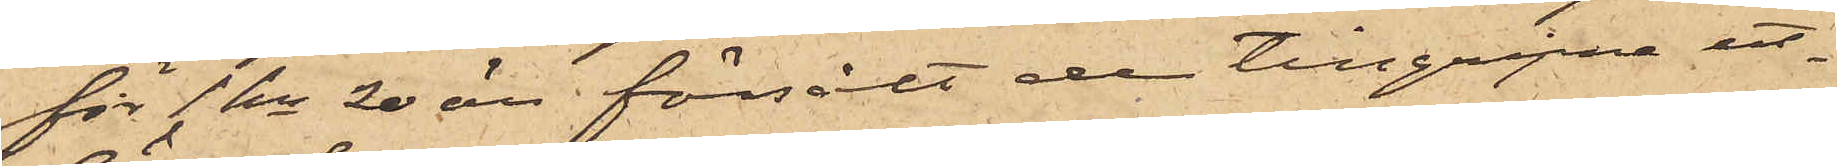för 1 kr 20 öre försålt de tillgripne ut¬
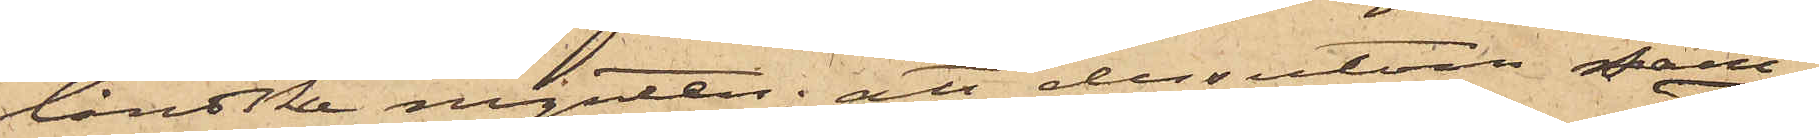länske mynten; att dessutom sam¬
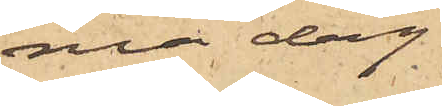ma dag
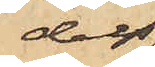dels
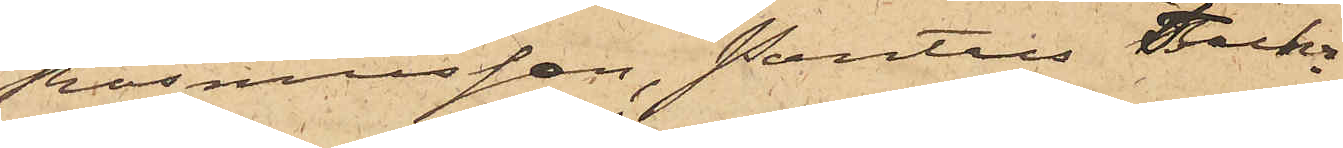Rasmusson, Pontus Fuhr¬
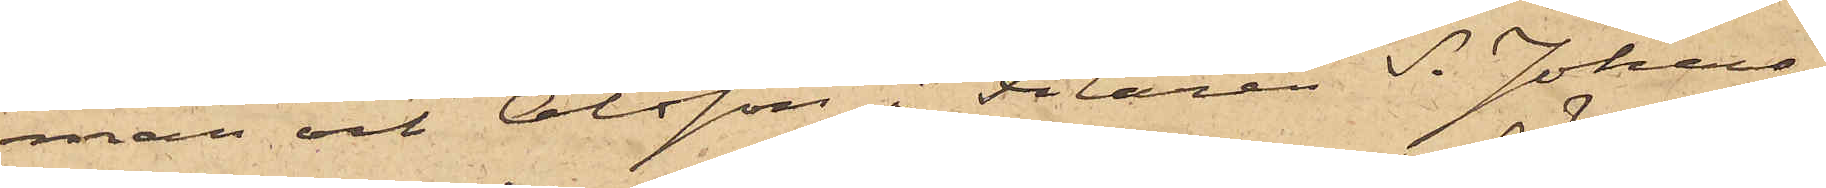man och Olsson i Filaren S. Johans¬
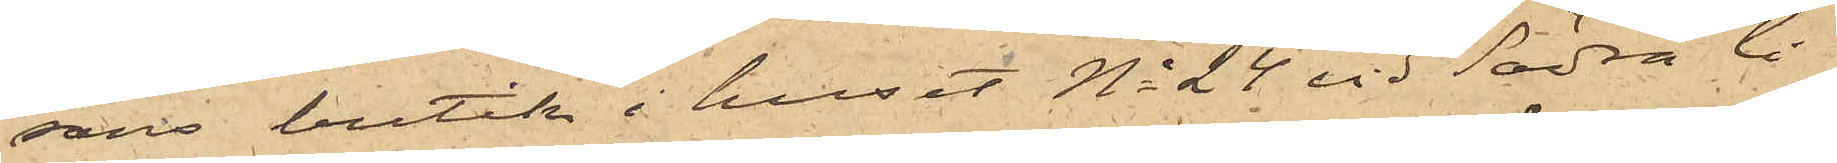sons butik i huset No 24 vid Södra li¬
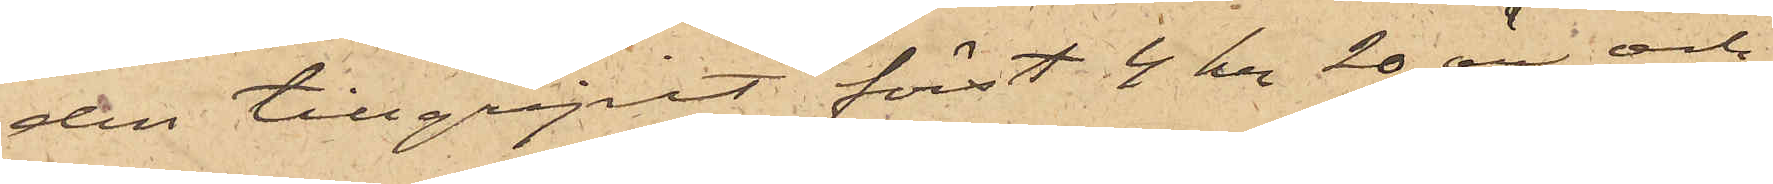den tillgripit först 4 kr 20 öre och
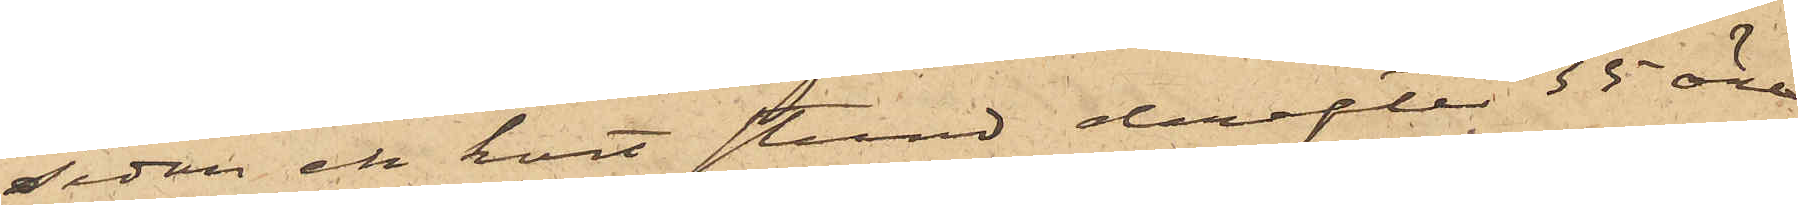sedan en kort stund derefter 35 öre,
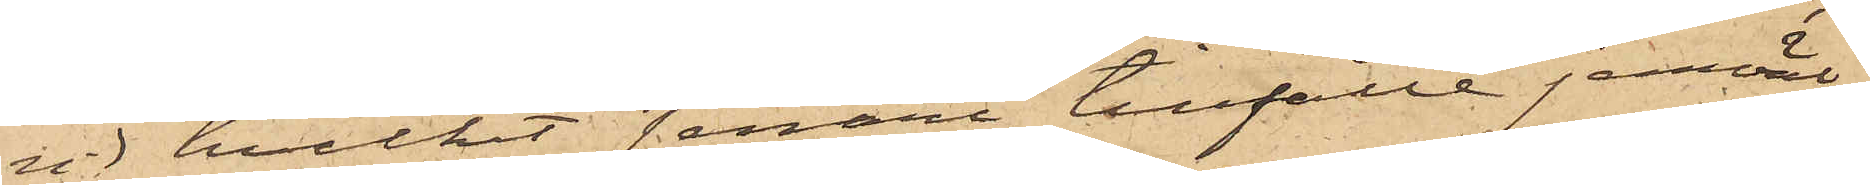vid hvilket senare tillfälle jemväl
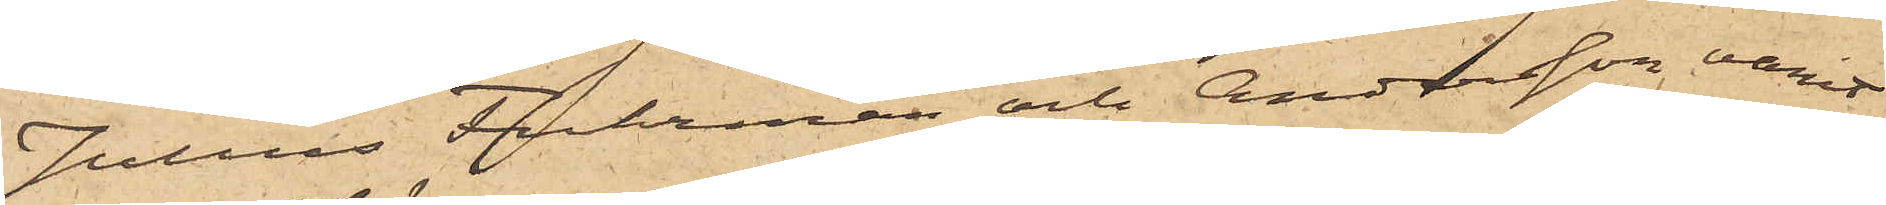Julius Fuhrman och Andersson varit
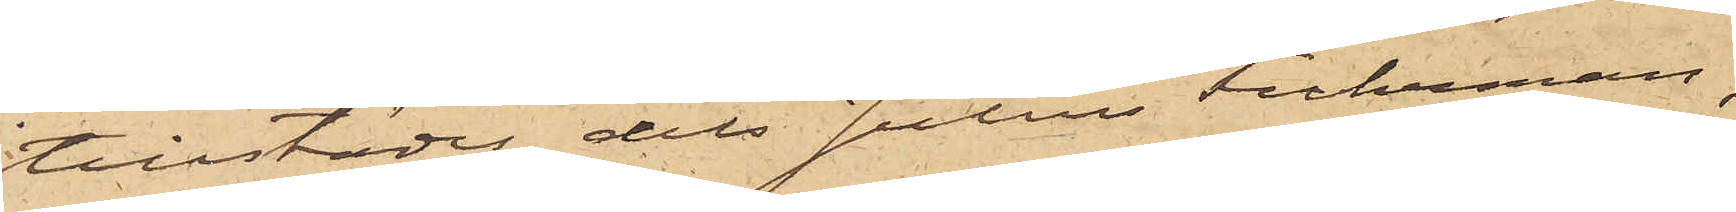tillstädes, dels Julius Fuhrman,
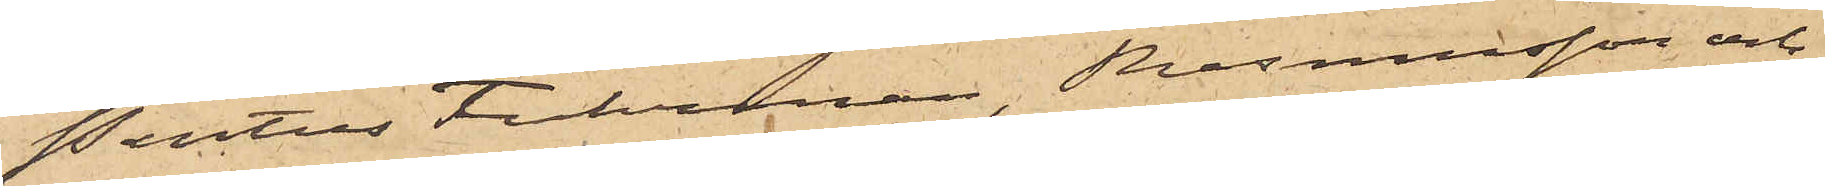Pontus Fuhrman, Rasmusson och
